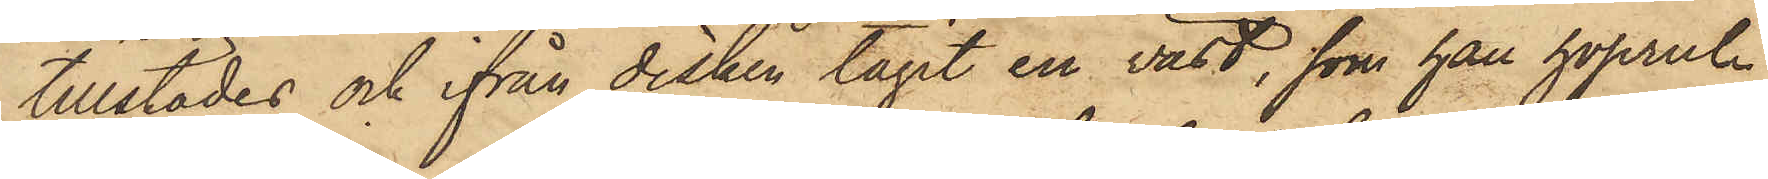tillstädes och ifrån disken tagit en väst, som han hoprul¬
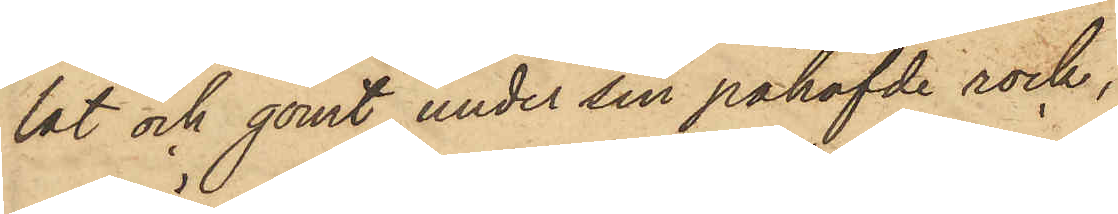lat och gömt under sin påhafvde rock,
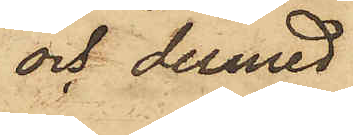och dermed
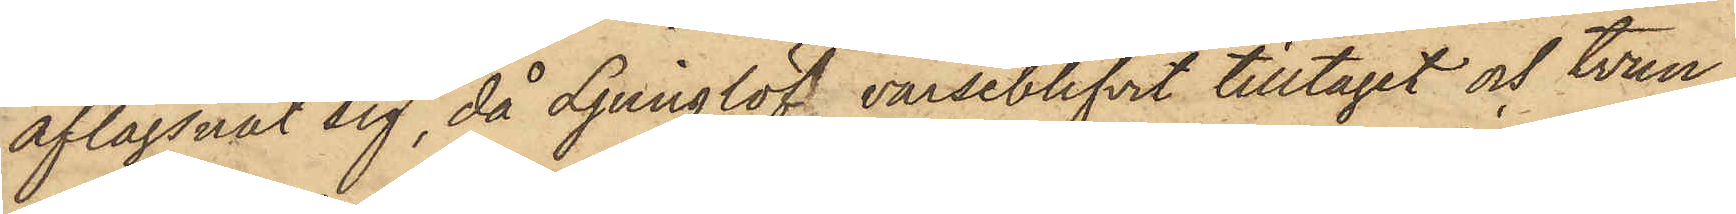aflägsnat sig, då Ljunglöf varseblifvit tilltaget och tvun¬
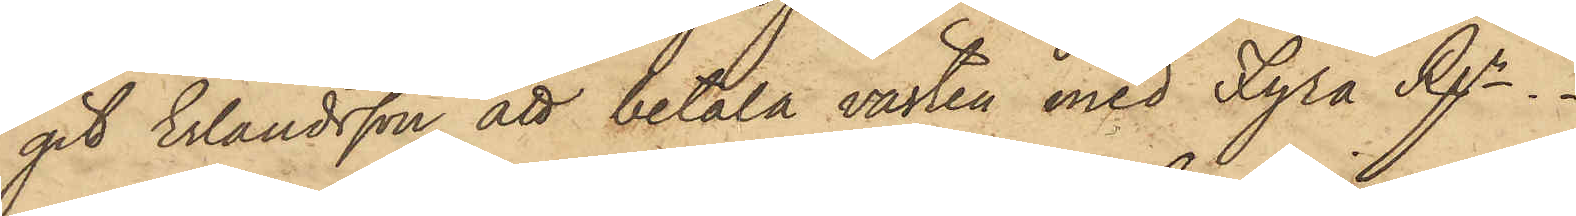git Erlandsson att betala västen med Fyra Rgr.
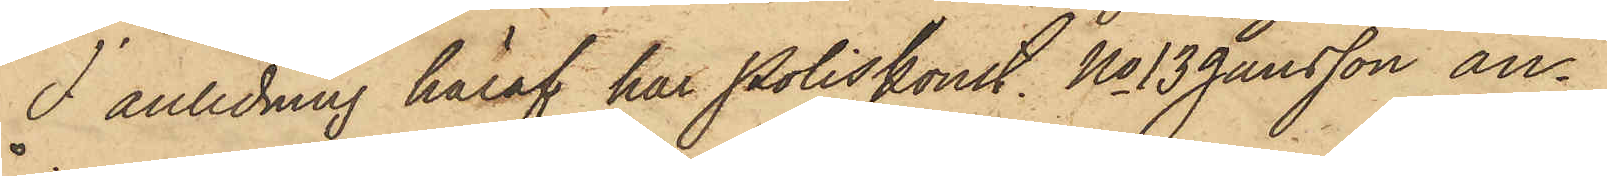I anledning häraf har Poliskonst. No 13 Jansson an¬
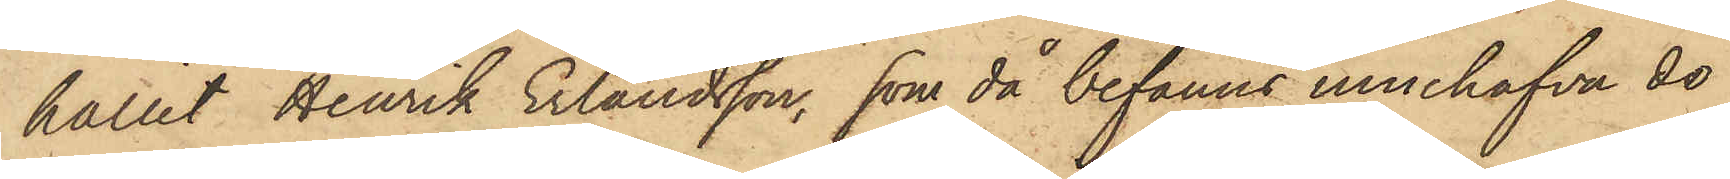hållit Henrik Erlandsson, som då befanns innehafva de
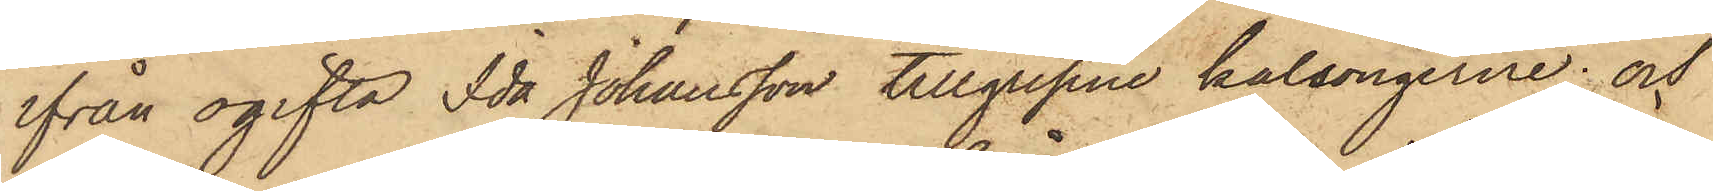ifrån ogifta Ida Johansson tillgripne kalsongerna; och
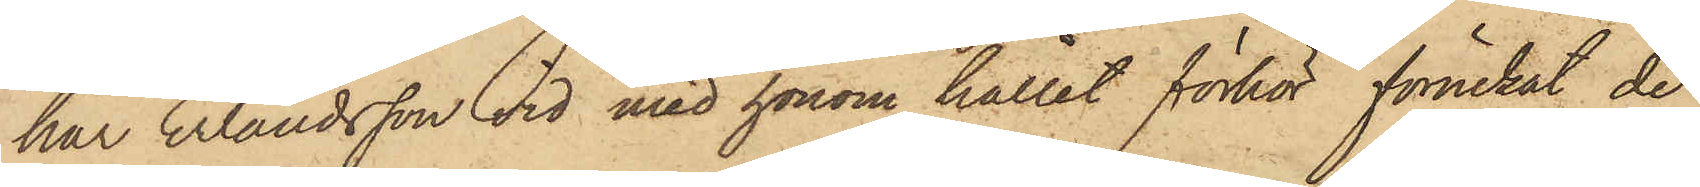har Erlandsson vid med honom hållit förhör förnekat de
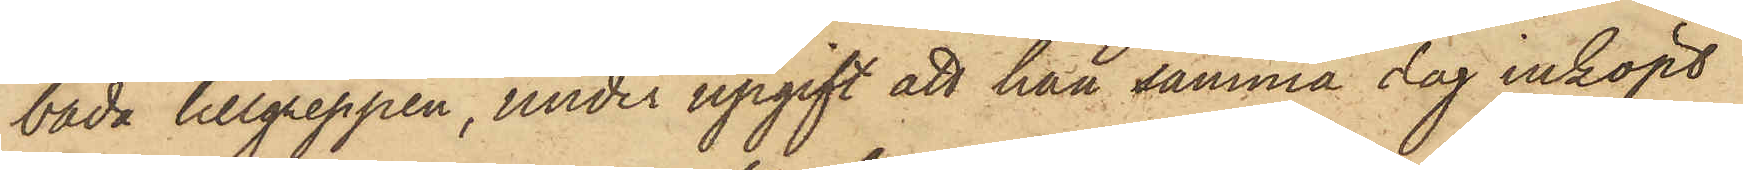båda tillgreppen, under upgift att han samma dag inköpt
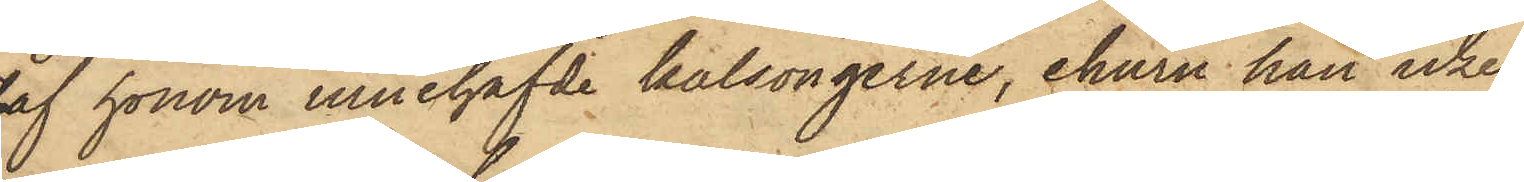af honom innehafvde kalsongerne, ehuru han icke
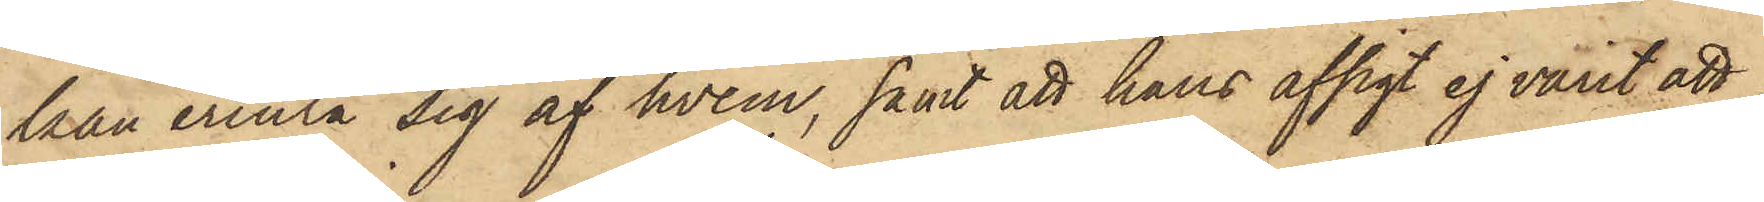kan erinra sig af hvem, samt att hans afsigt ej varit att
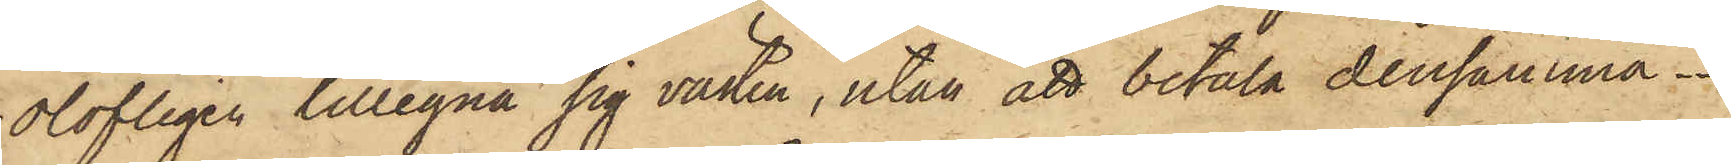olofligen tillegna sig västen, utan att betala densamma.
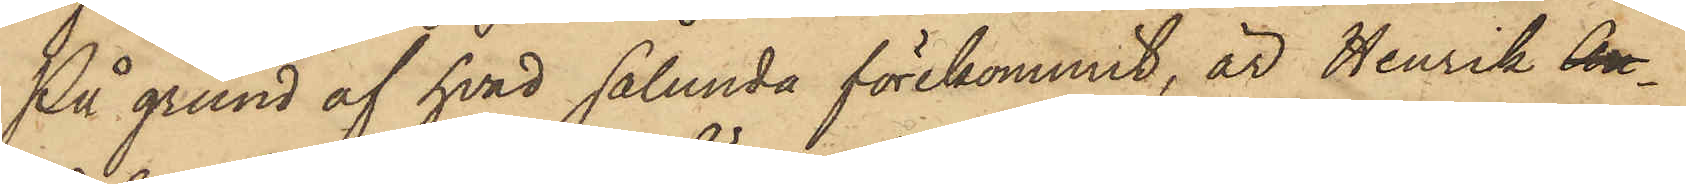På grund af hvad sålunda förekommit, är Henrik An¬
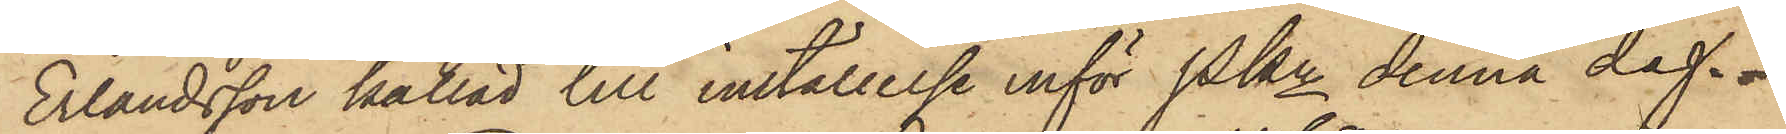Erlandsson kallad till inställelse inför Pkn denna dag
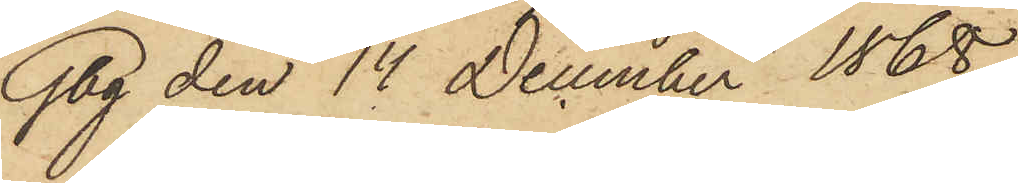Gbg den 14 December 1868.
